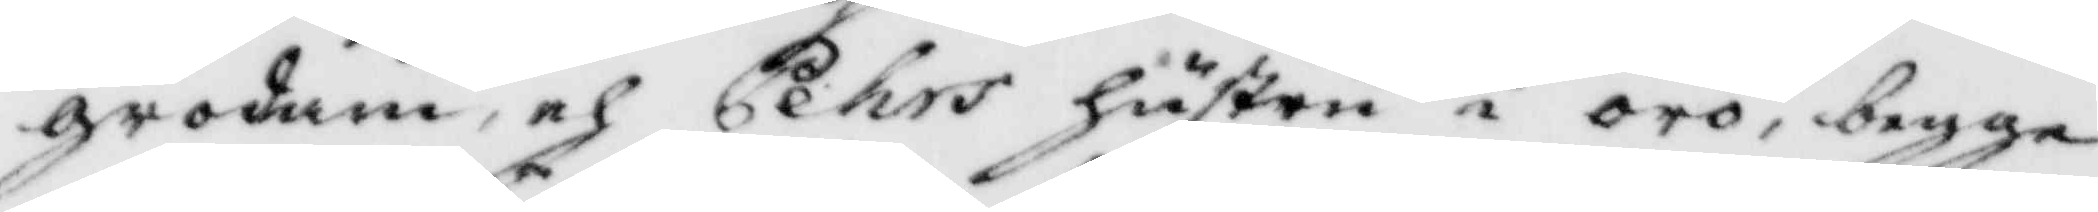grodam, och Pehrs hustru i örö, begge
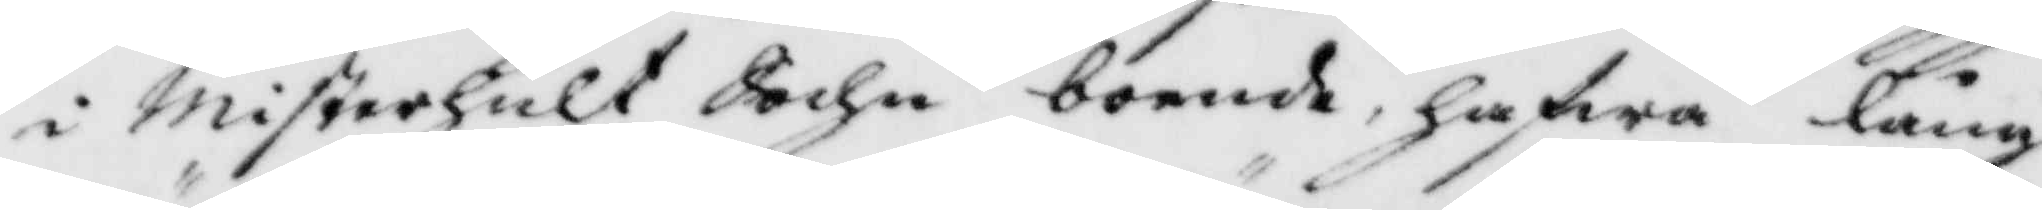i Misterhulr Sochn boende, hafwa lång
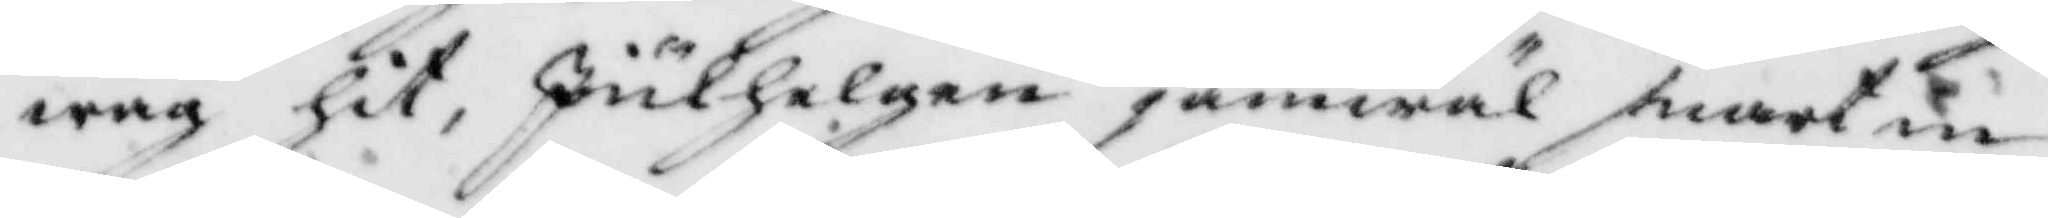wäg hit, Julhelgen jämwäl snart in¬
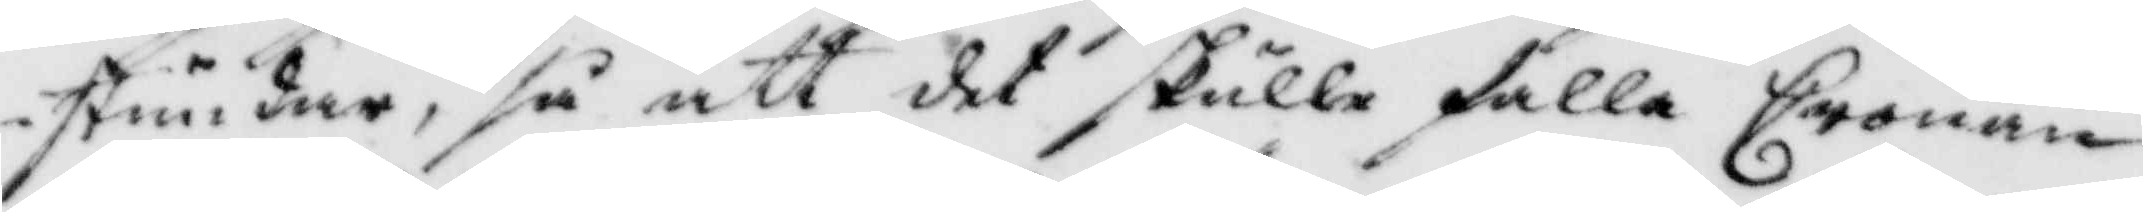stundar, så att det skulle falla Cronan
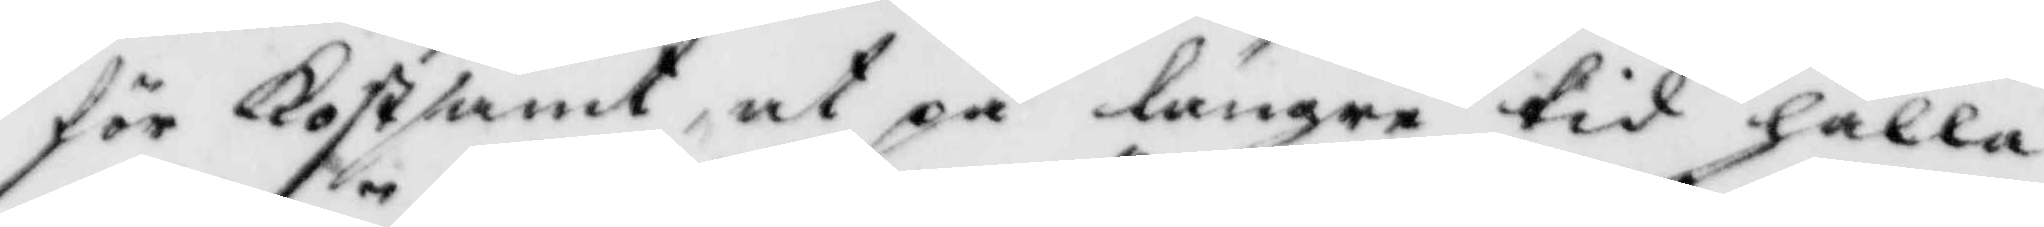för Kostsamt, at på längre tid hålla
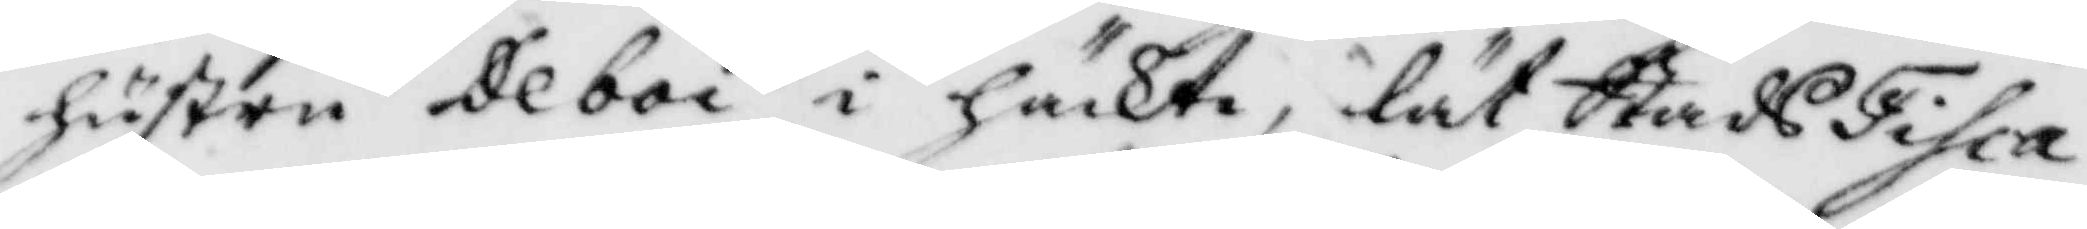hustru Deboi i häckte, lät StadsFisca¬
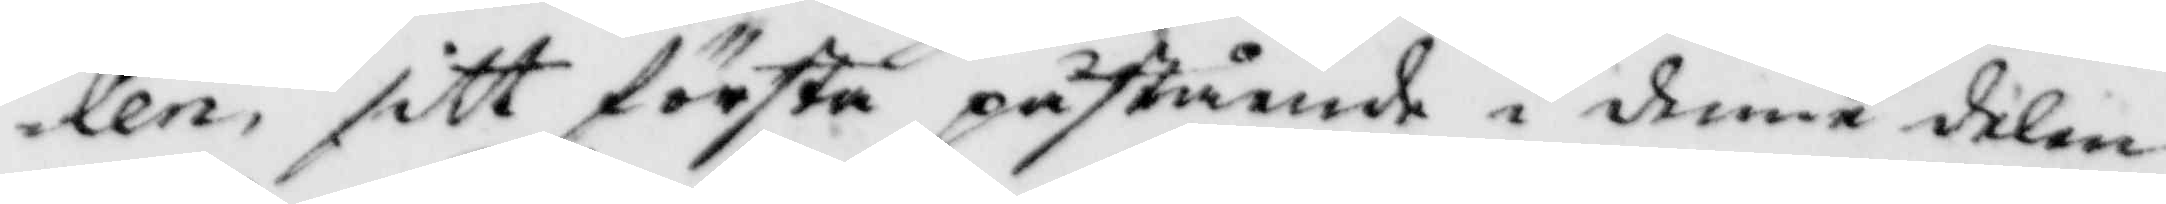len sitt första påstående i denne delen
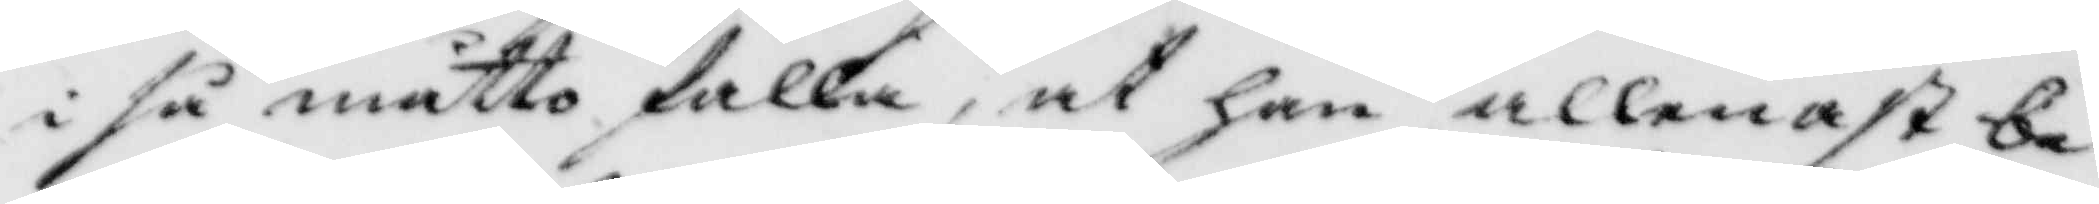i så måtto falla, at han allelast be¬
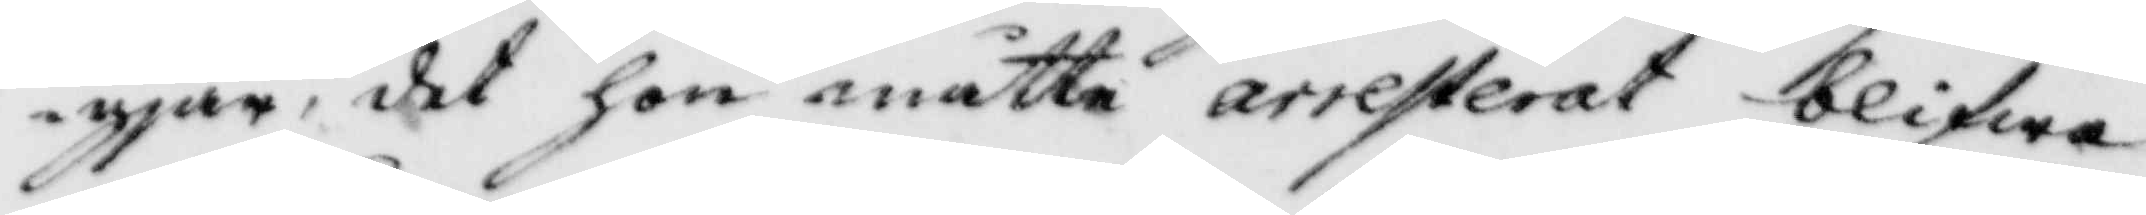gjär, det hon måtte arresterat blifwa
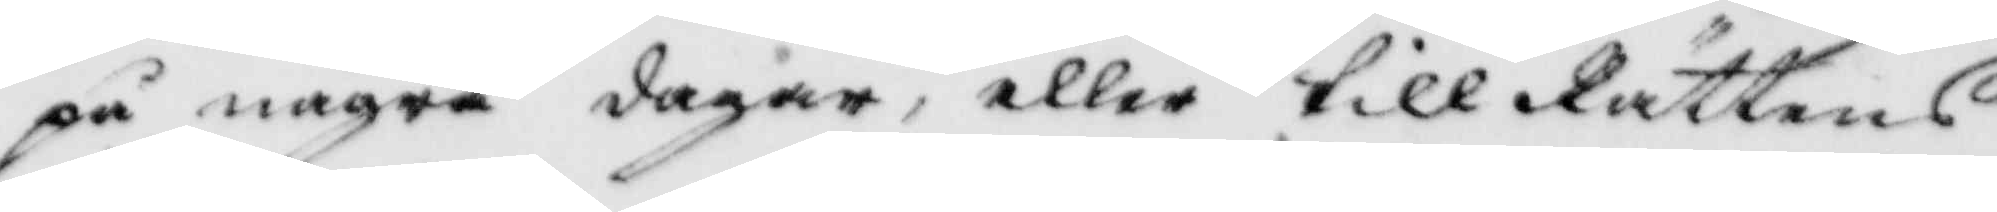på någea dagar, eller till Rättens
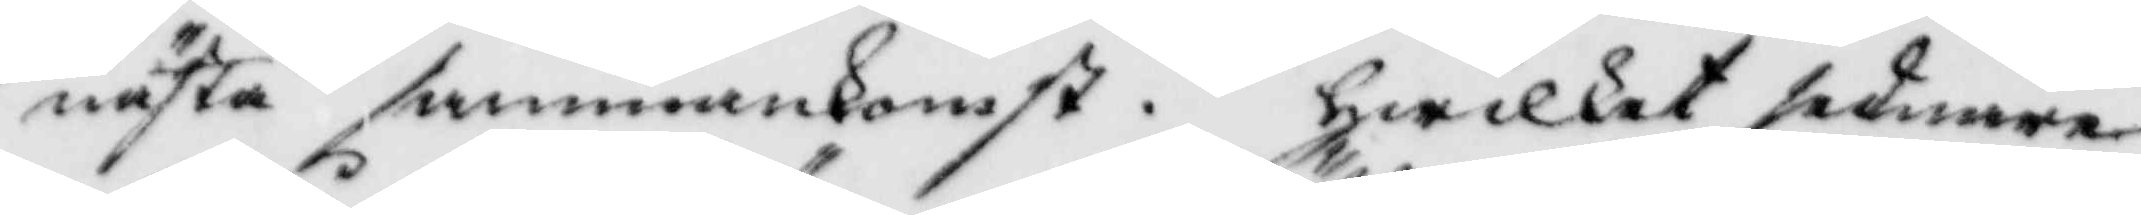nästa sammankomst. hwilket sednare
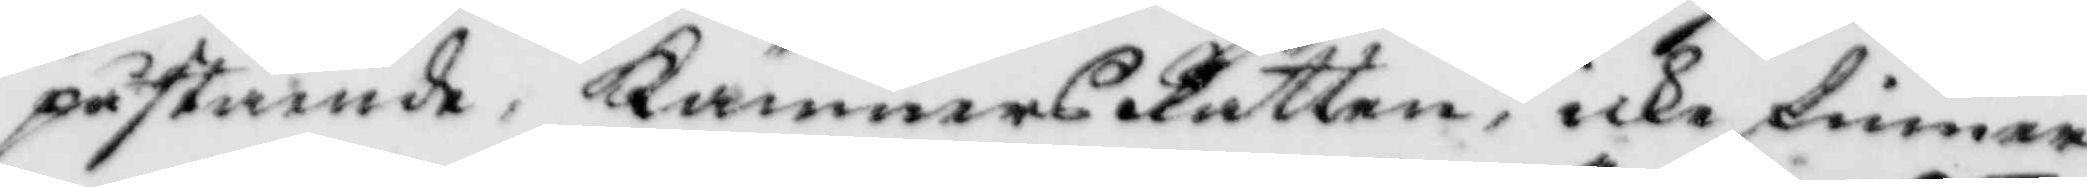påstående, KämnersRätten, icke finner
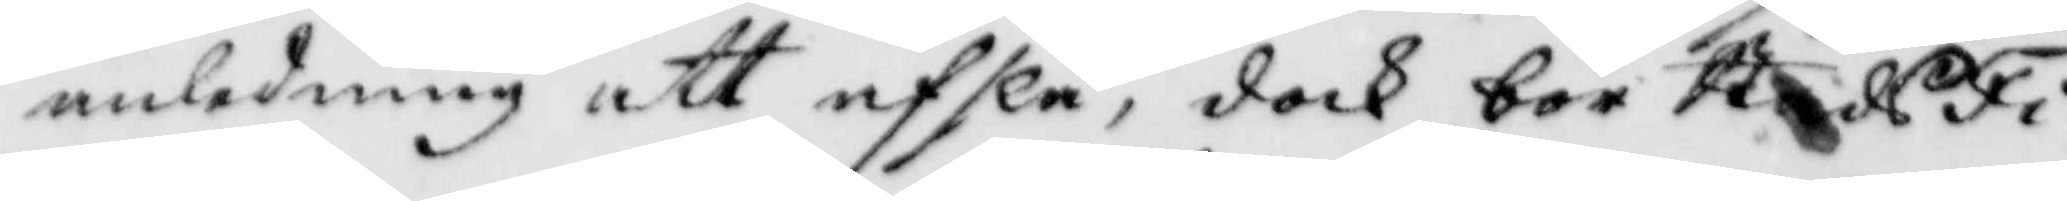anledning att afslå, dock bör StadsFi¬
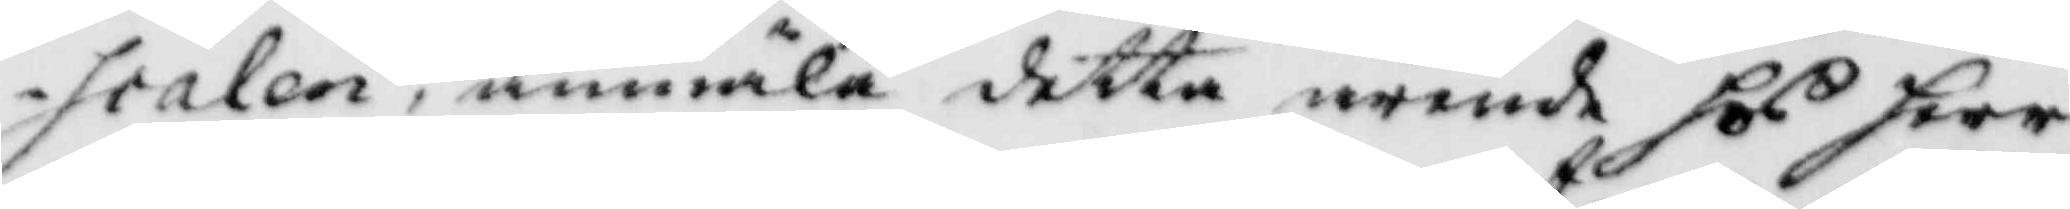scalen, anmäla detta ärende hos herr
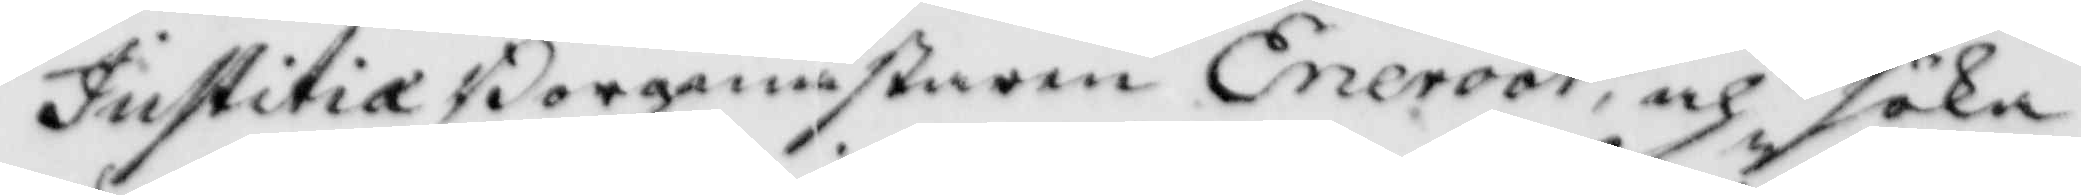JustitiæBorgmästaren Eneroot, och söka
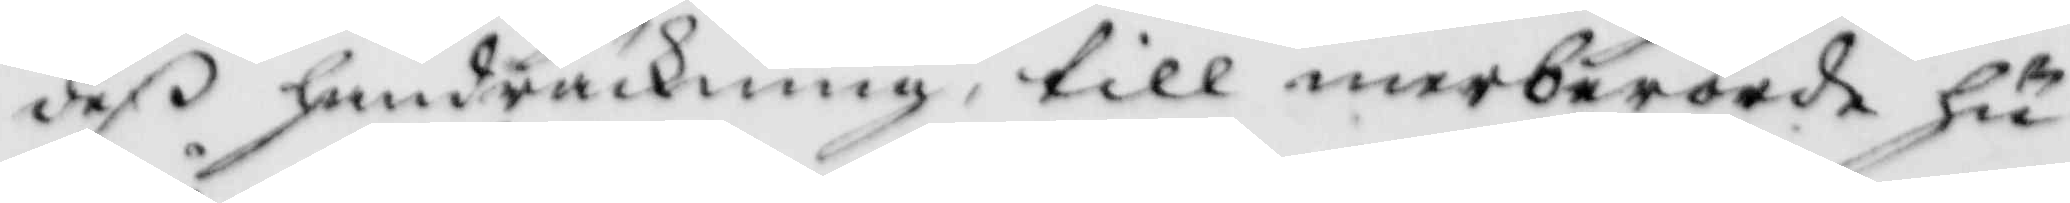deß handräckning, till merberörde hu¬
